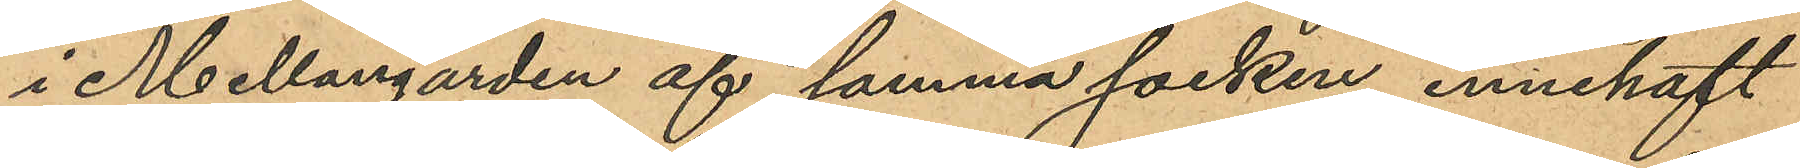i Mellangården af samma socken innehaft
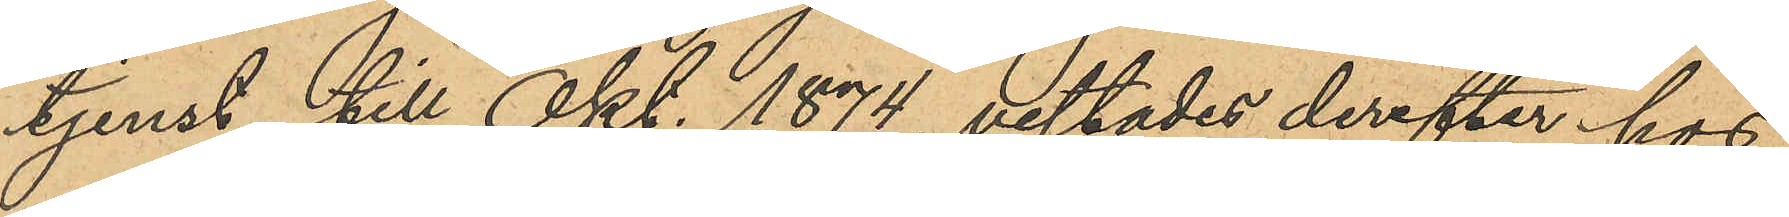tjenst till Okt. 1874, vistades derefter hos
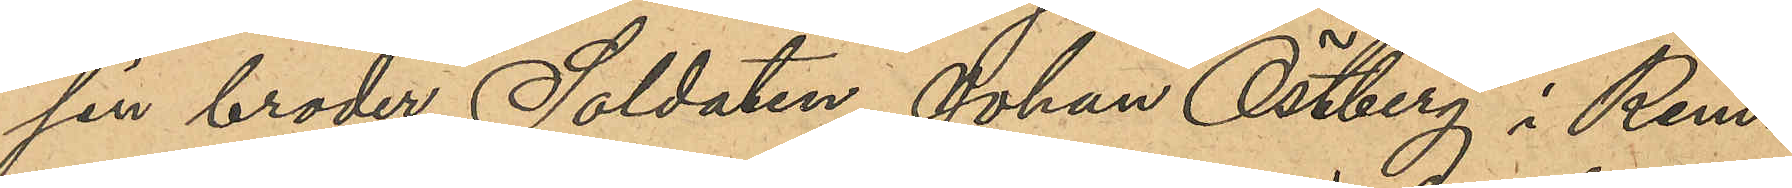sin broder Soldaten Johan Östberg i Rem¬
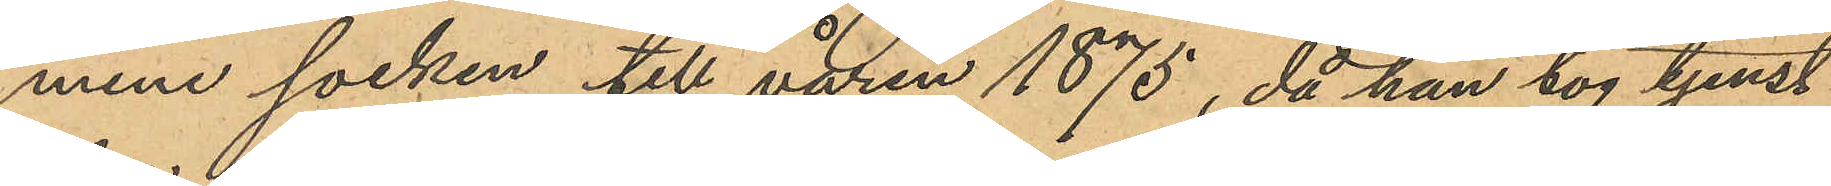mene socken till våren 1875, då han tog tjenst
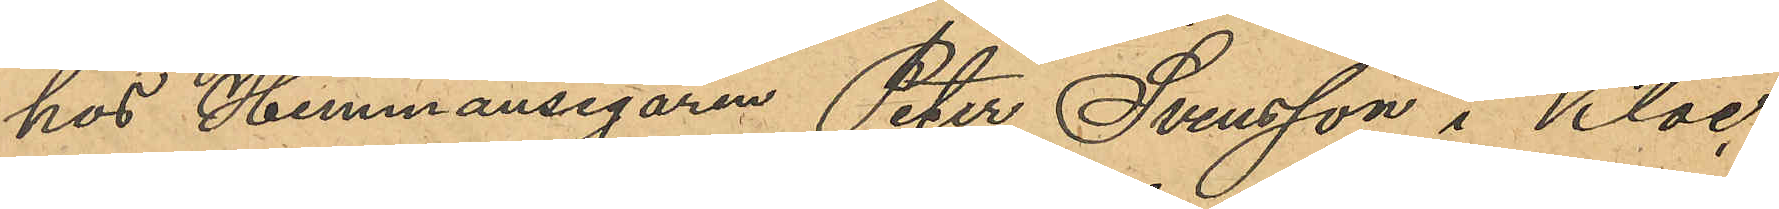hos Hemmansegaren Peter Svensson i Kloc¬
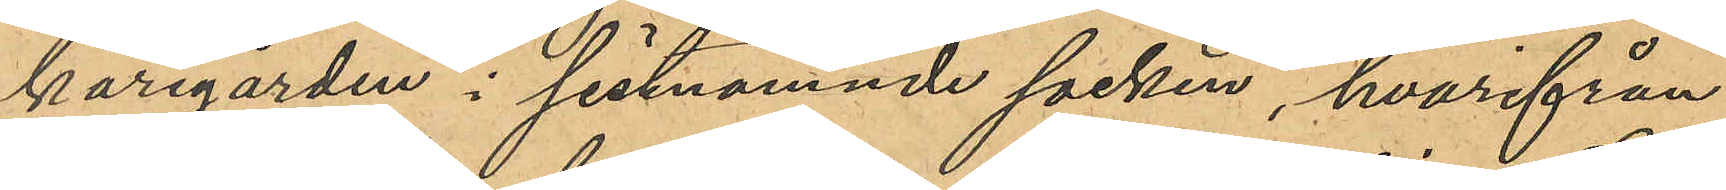karegården i sistnämnde socken, hvarifrån
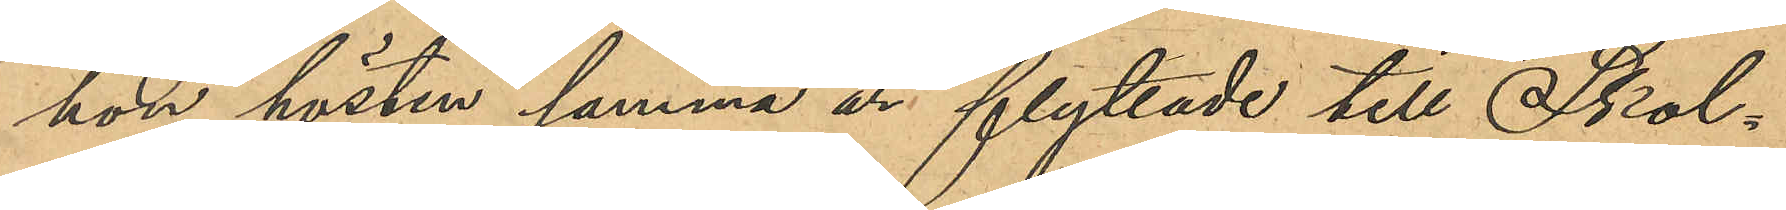hon hösten samma år flyttade till Skol¬
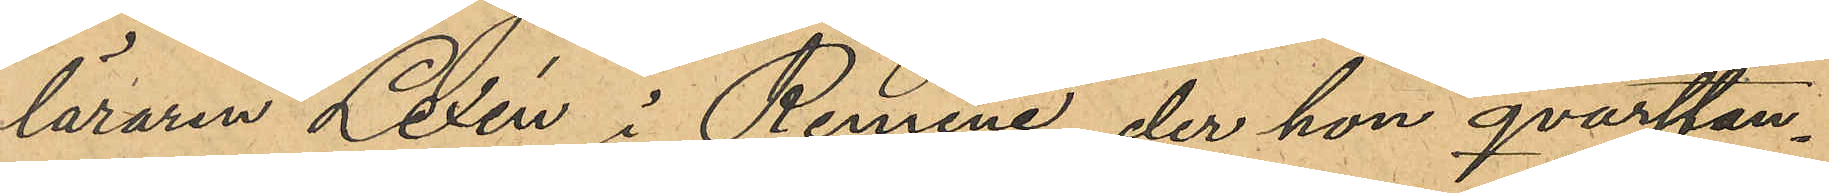läraren Lexén i Remene, der hon qvarstan¬
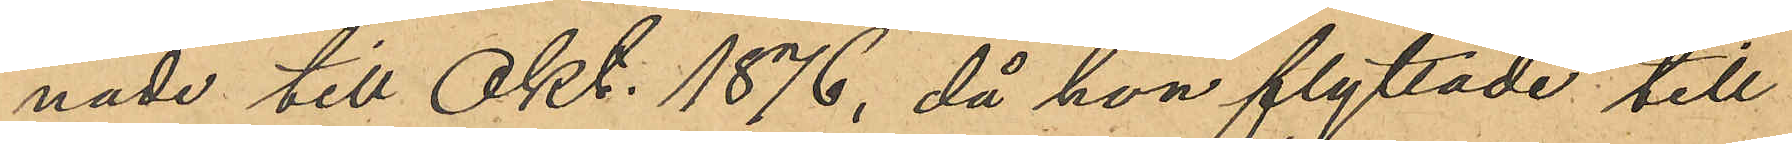nade till Okt. 1876, då hon flyttade till
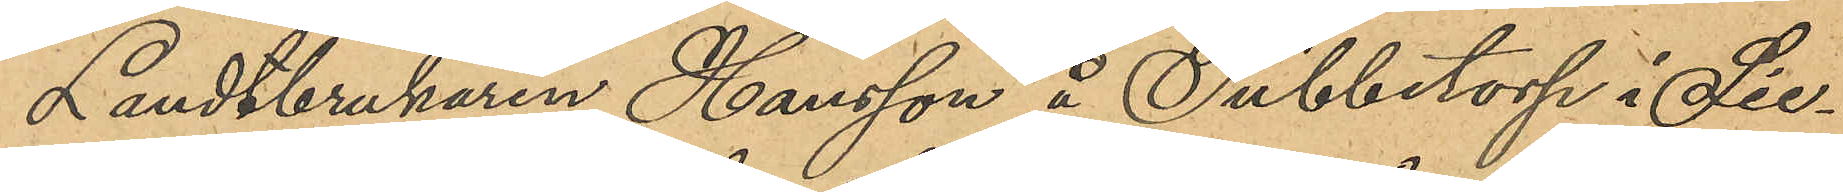Landtbrukaren Hansson å Tubbetorp i Sie¬
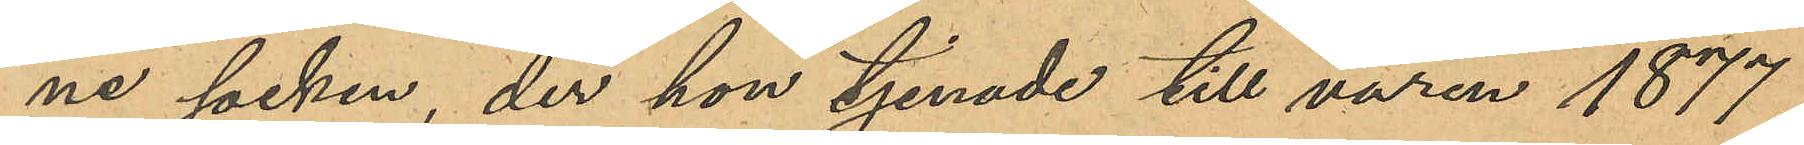ne socken, der hon tjenade till våren 1877,
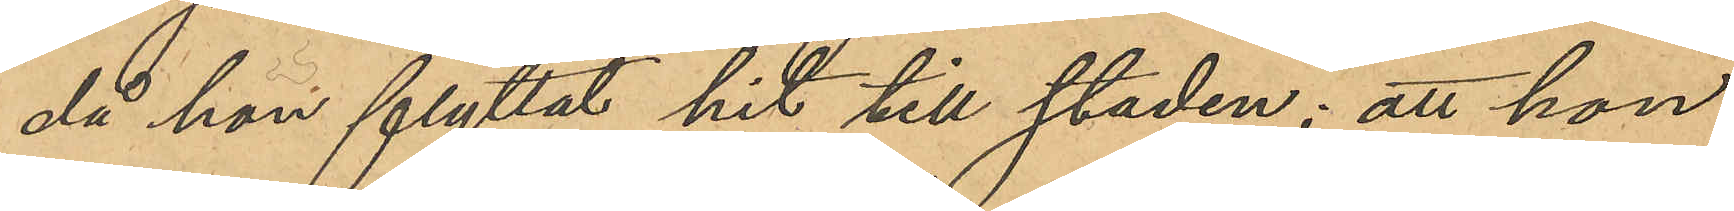då hon flyttat hit till staden; att hon
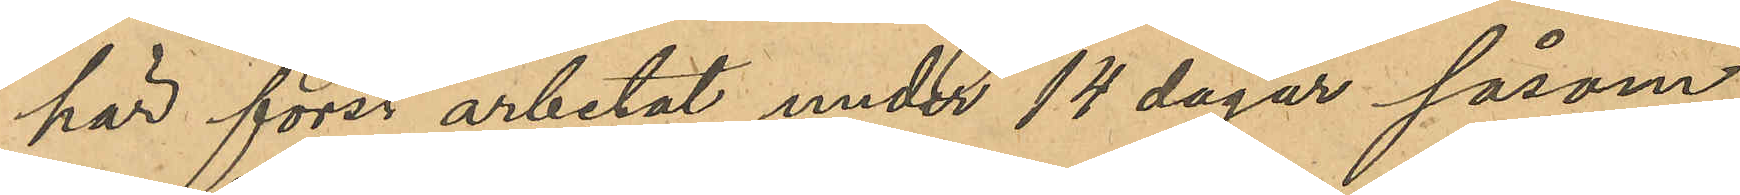här först arbetat under 14 dagar såsom
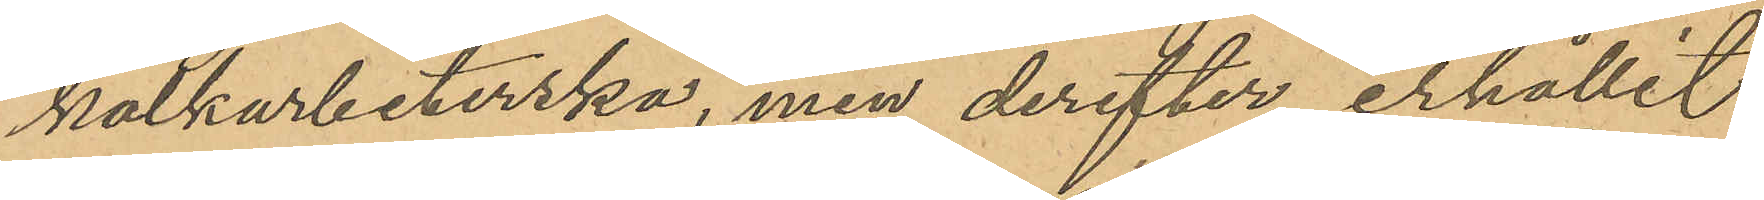kalkarbeterska, men derefter erhållit
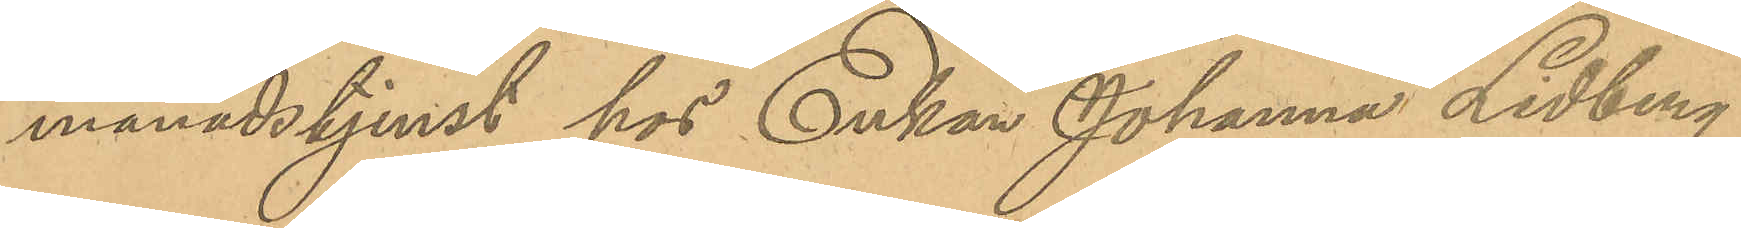månadstjenst hos Enkan Johanna Lidberg
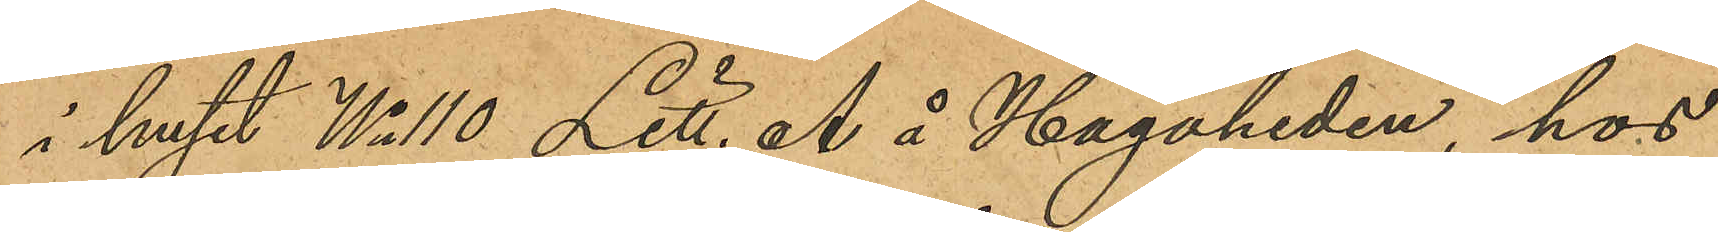i huset No 110 Litt. A å Hagaheden, hos
